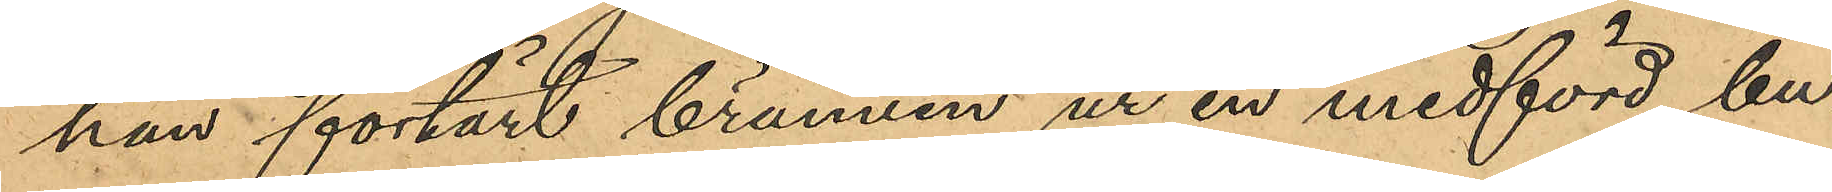han förtärt brännvin ur en medförd bu¬
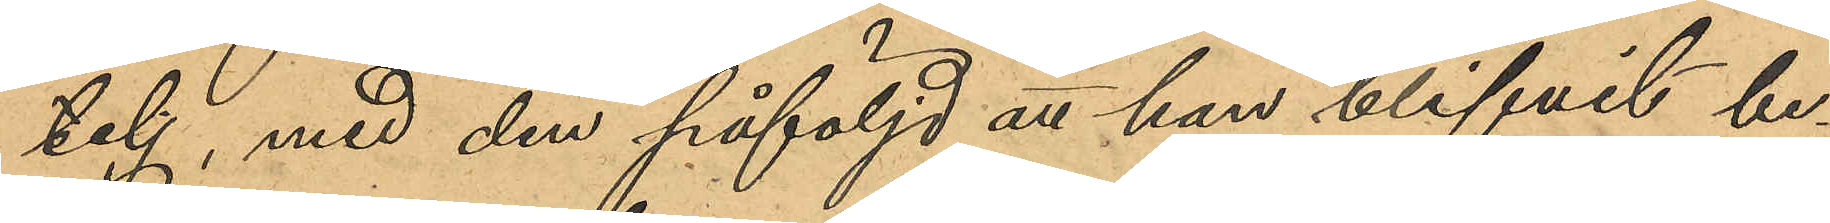telj, med den påföljd att han blifvit be¬
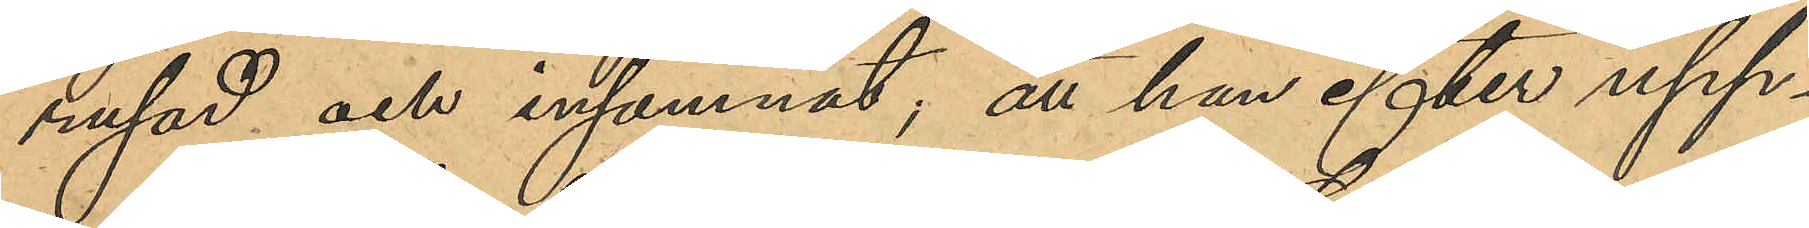rusad och insomnat; att han efter upp¬
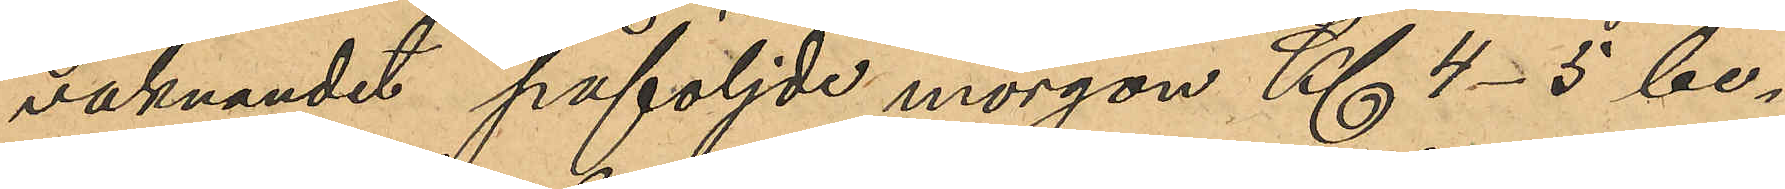vaknandet påföljde morgon Kl 4-5 be¬
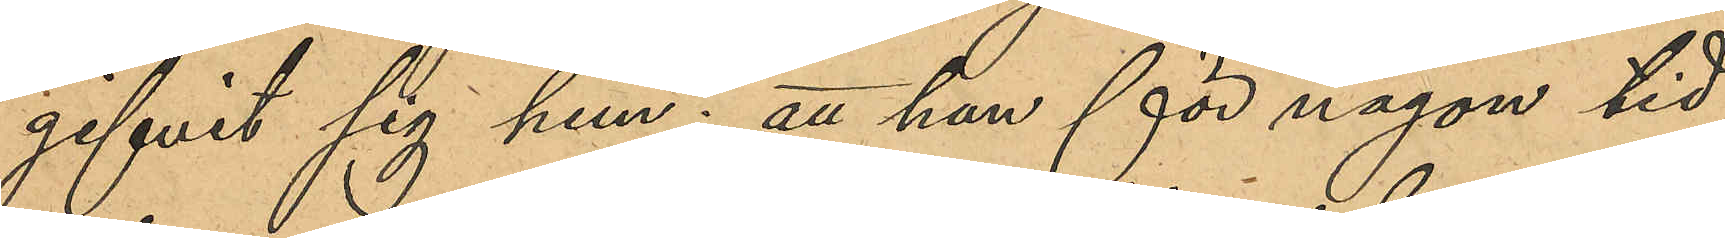gifvit sig hem; att han för någon tid
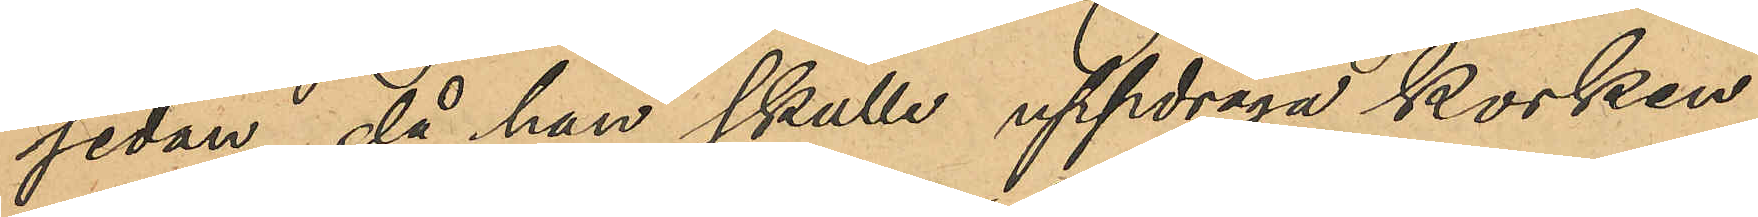sedan, då han skulle uppdraga korken
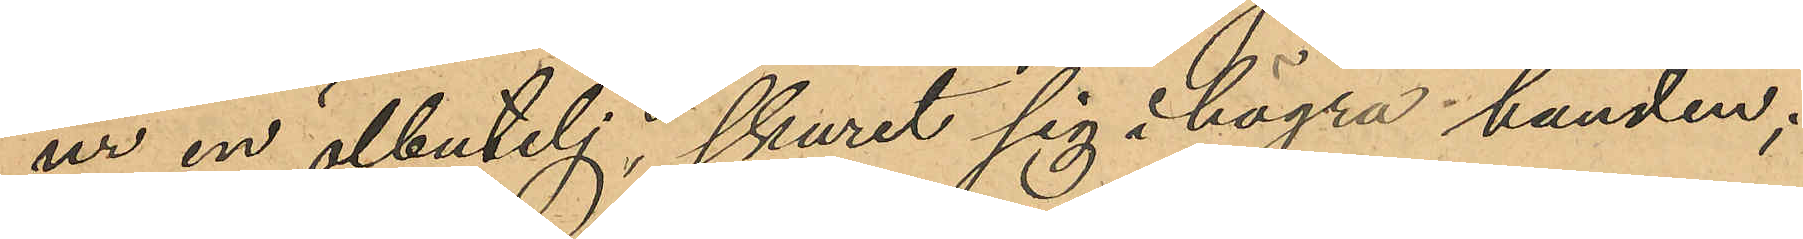ur en ölbutelj, skurit sig i högra handen;
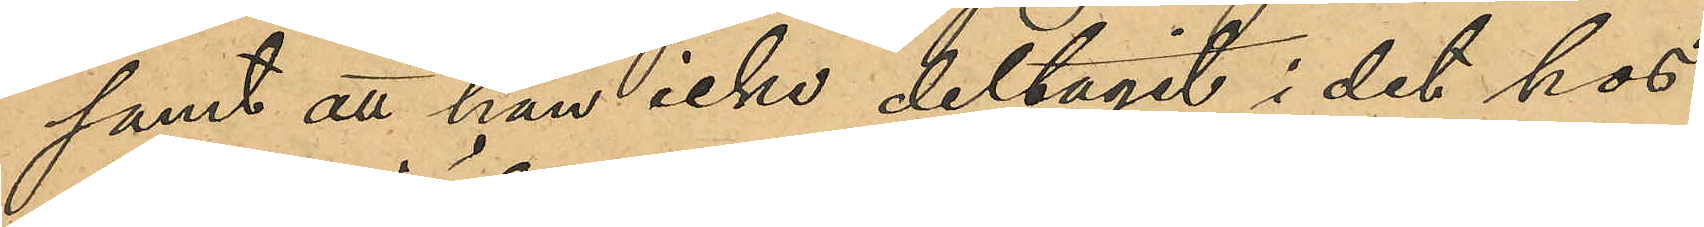samt att han icke deltagit i det hos
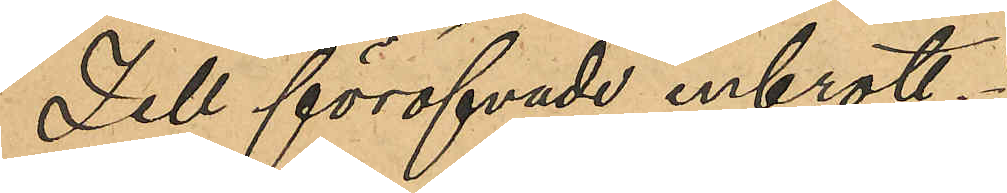Zell föröfvade inbrott.
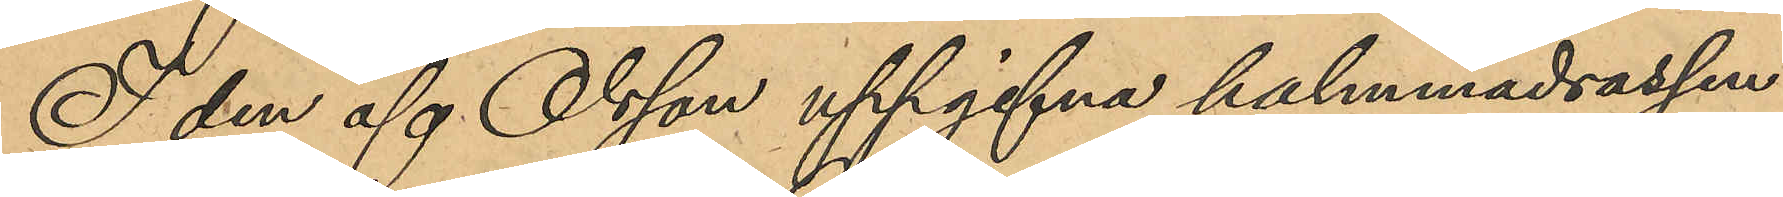I den af Olsson uppgifna halmmadrassen
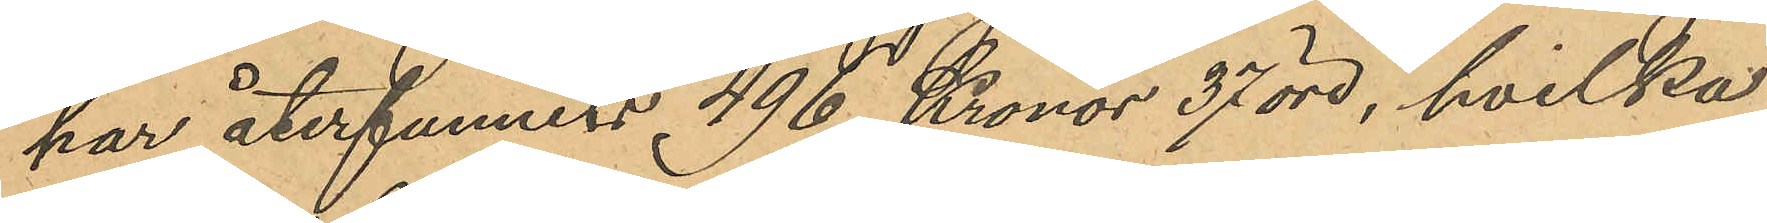har återfunnets 496 Kronor 37 öre, hvilka
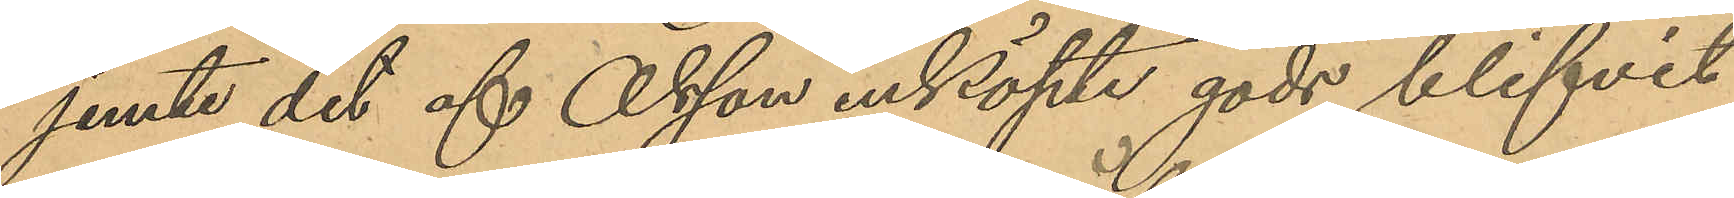jemte det af Olsson inköpte gods blifvit
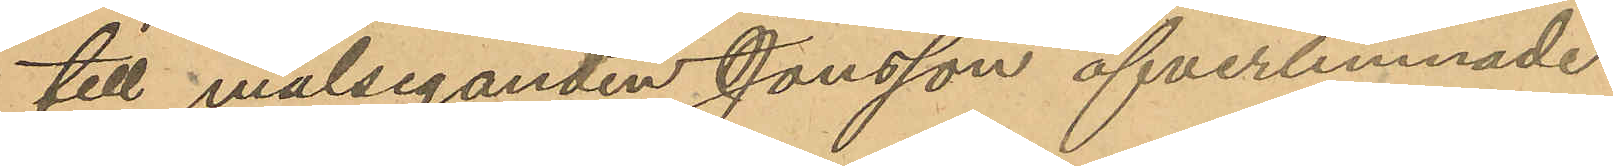till målseganden Jonsson öfverlemnade.
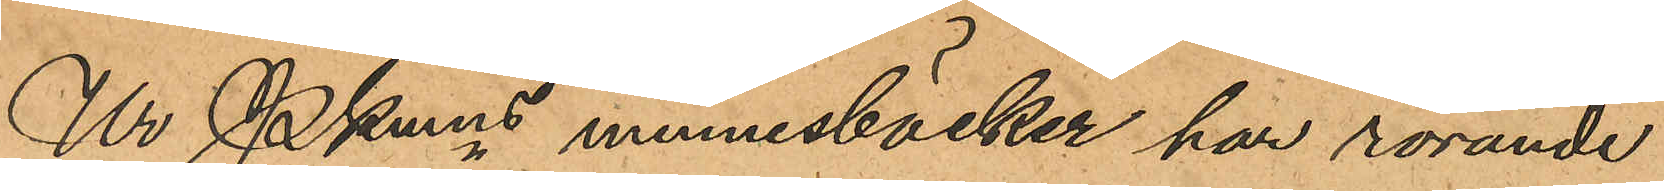Ur PKmns minnesböcker har rörande
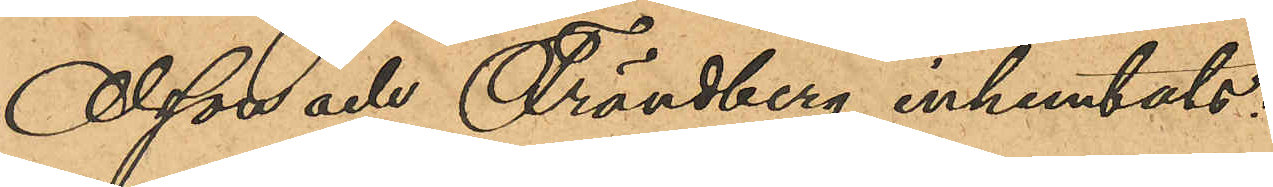Olsson och Frändberg inhemtats:
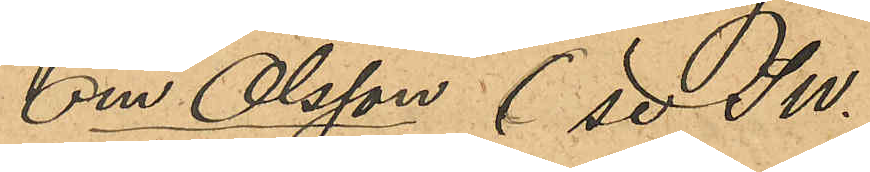Om Olsson (se SW.
